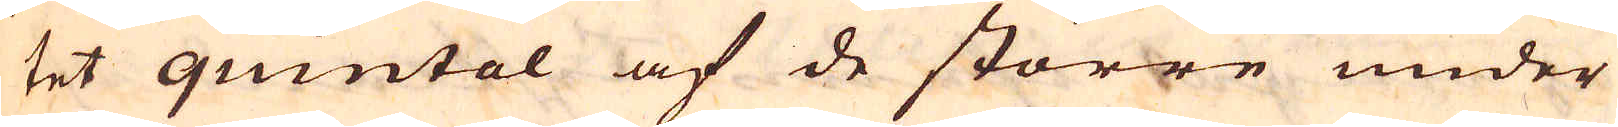tet quintal af de större under
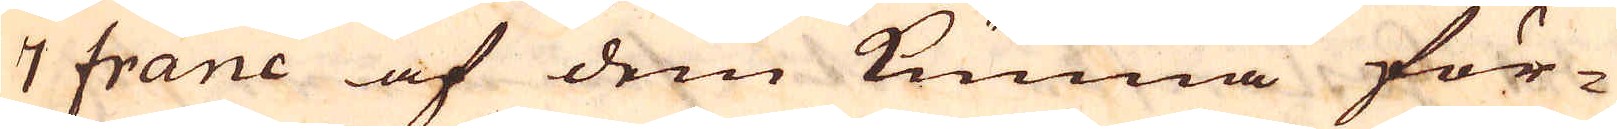7 franc af dem kunna för-
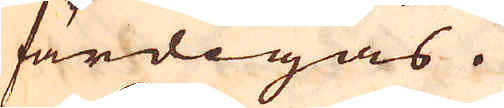färdigas.
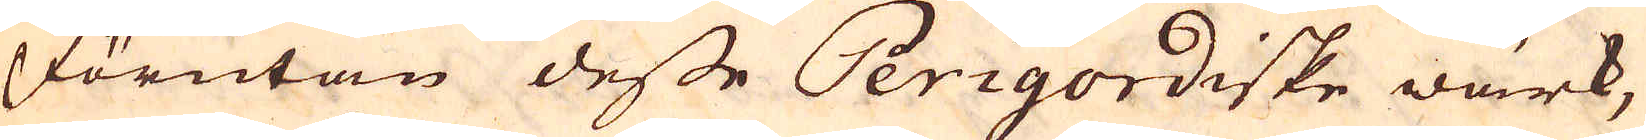Förutan desse Perigordiske wärk,
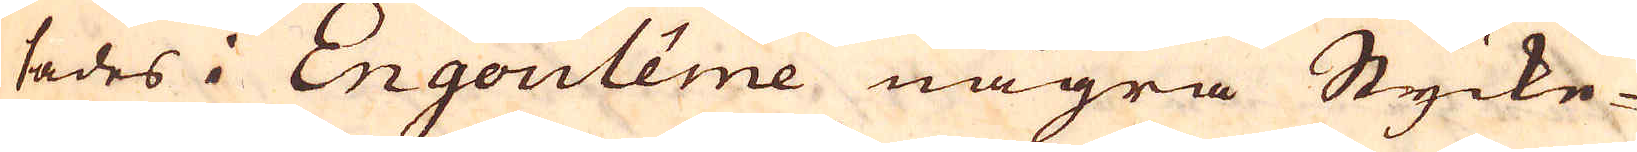sades i Engoulême några Stycke-
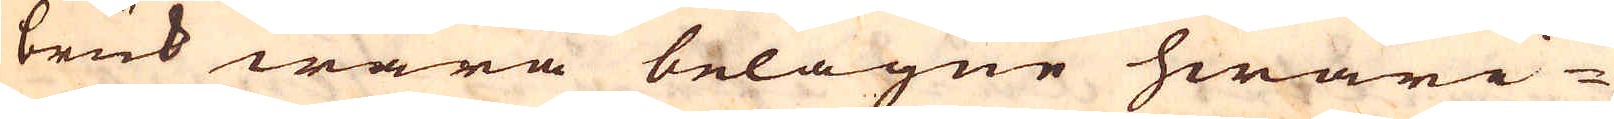bruk wara belägne hwari-
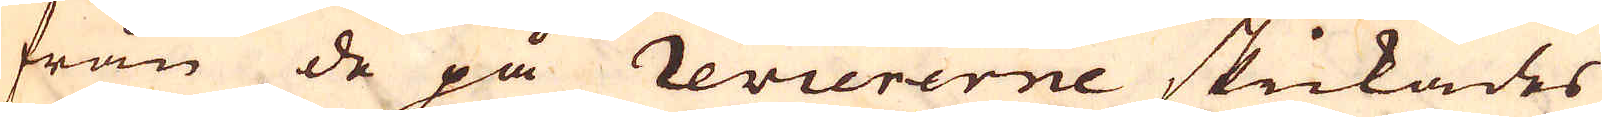från de på reviererne skickades
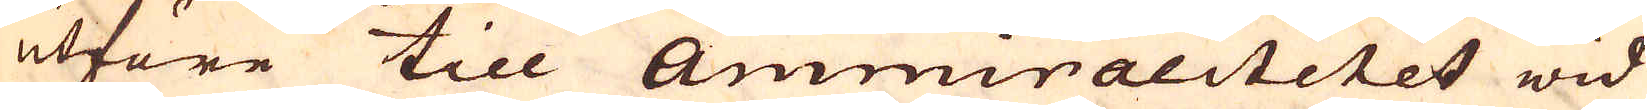utföre till Ammiralitetet wid
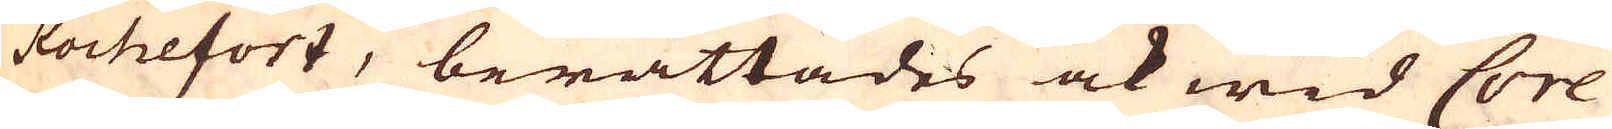Rochefort, berättades ock wid Core
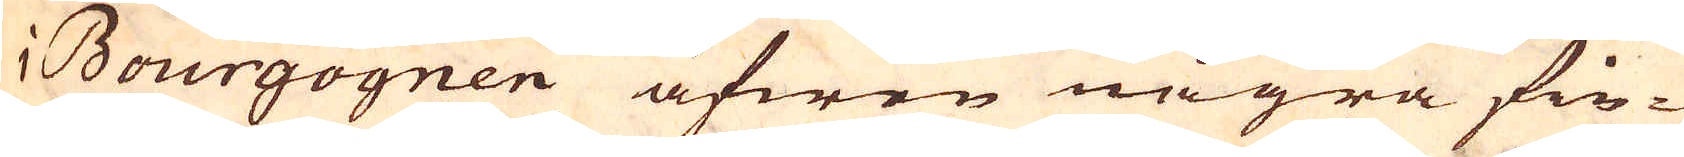i Bourgogner äfwen några fin-
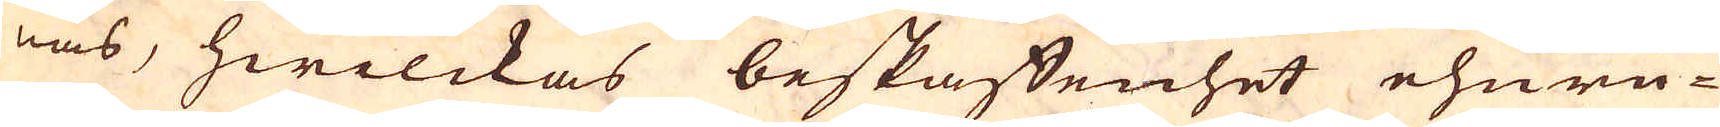nas, hwilckas beskaffenhet ehuru-
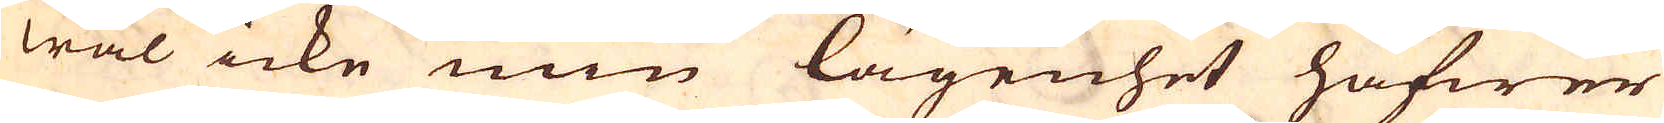wäl icke min lägenhet hafwer
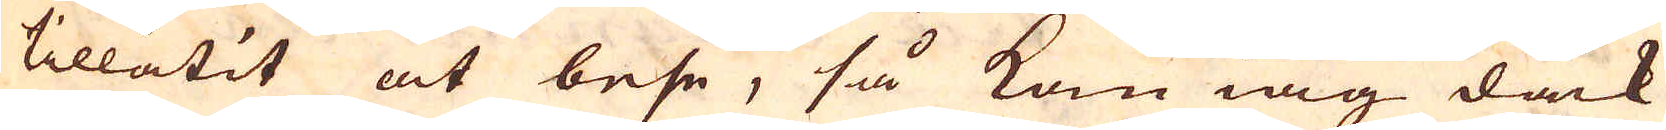tillåtit at bese, så kan iag dåck
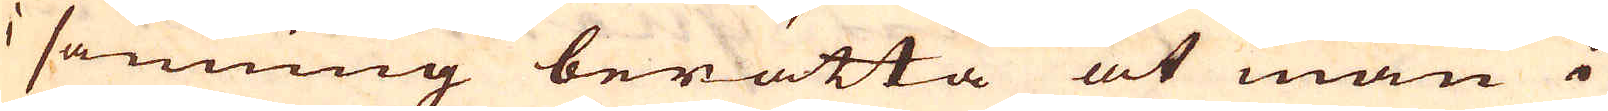i sanning berätta at man i
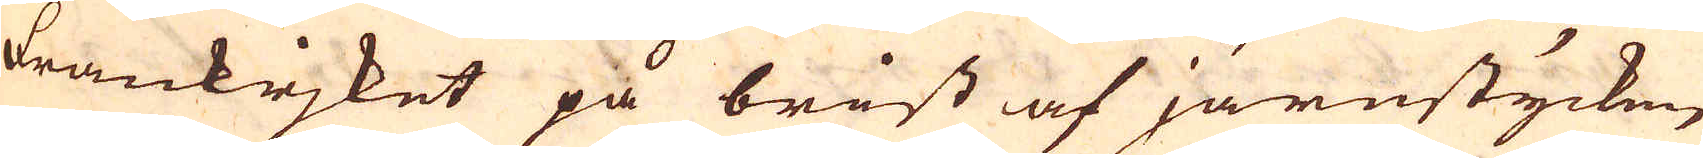Frankrjket på brist af järnstycken
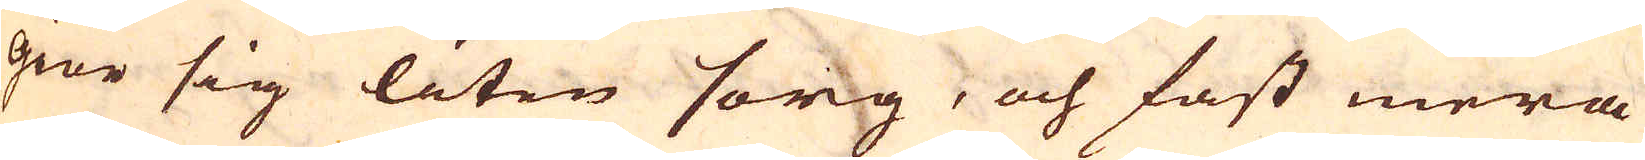giör sig liten sorg, och fast mera
